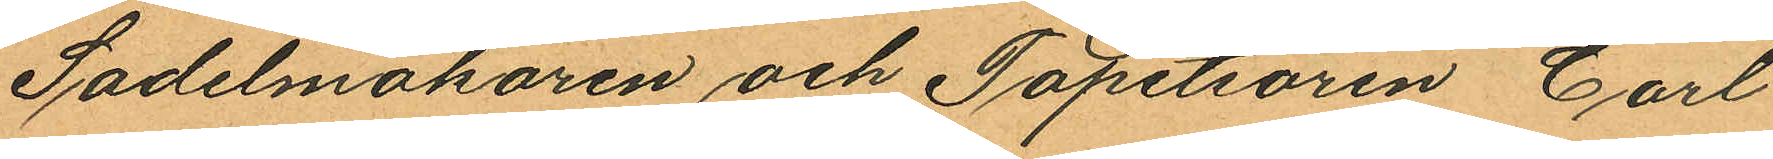Sadelmakaren och Tapetsören Carl
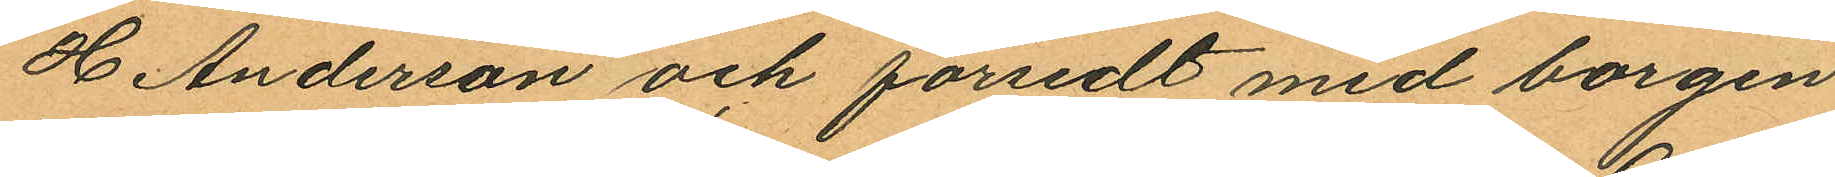H Anderson och försedt med borgen
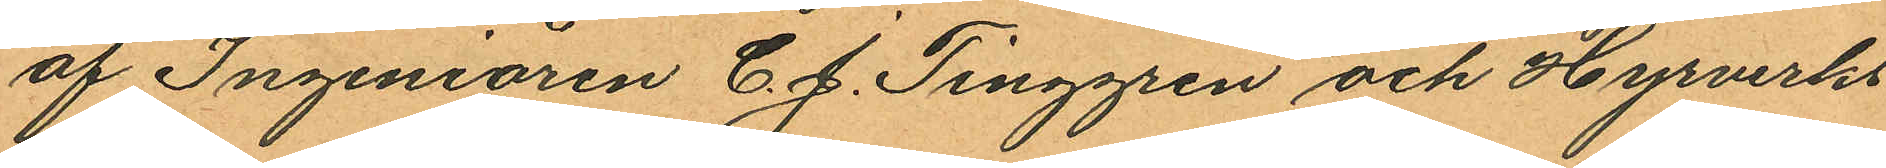af Ingeniören C. J. Tinggren och Hyrverks
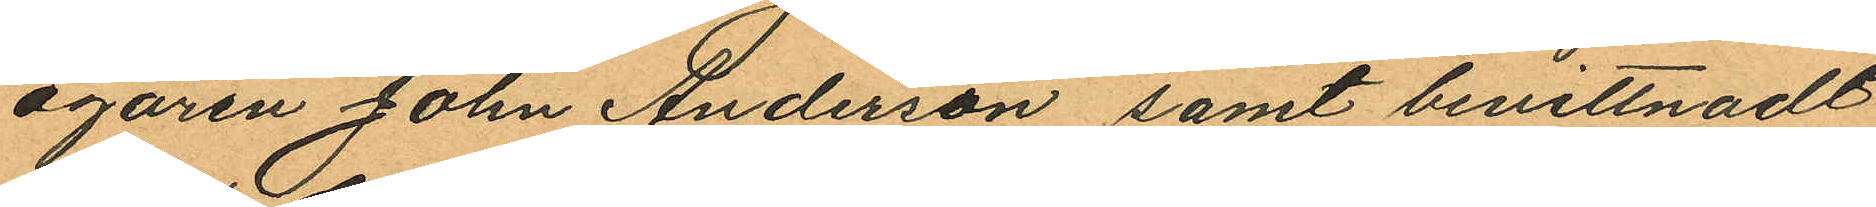ägaren John Anderson samt bevittnadt
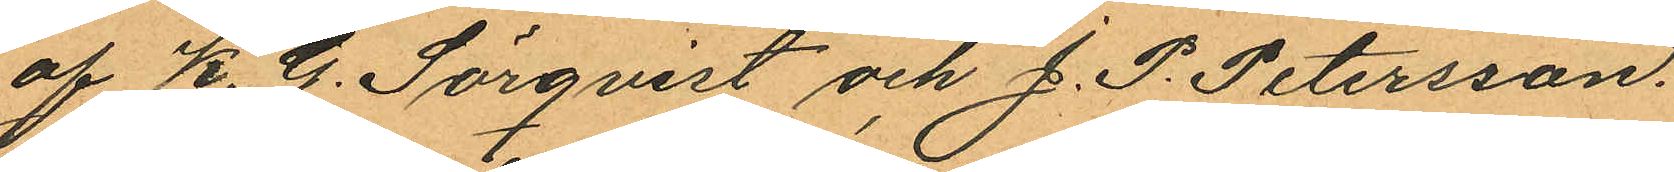af K. G. Sörqvist och J. P. Petersson.
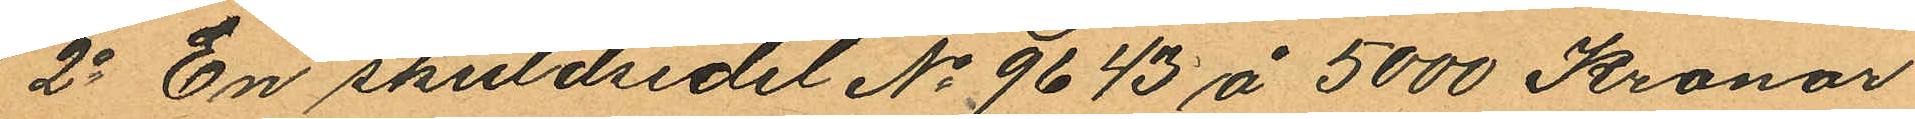2o En skuldsedel No 9643 å 5000 Kronor
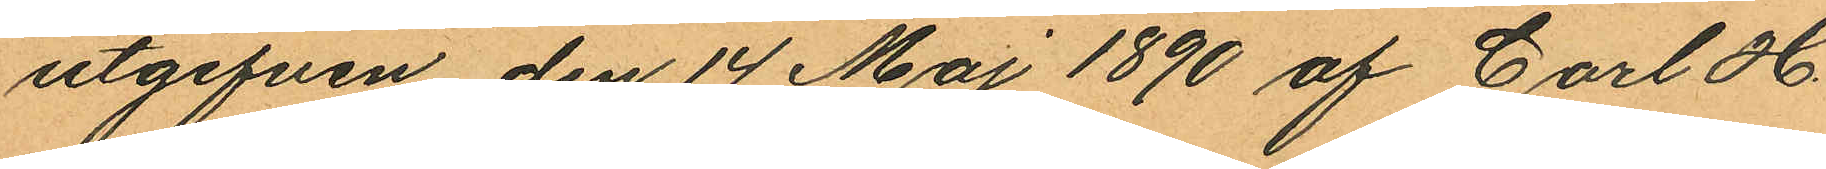utgifven den 14 Maj 1890 af Carl H
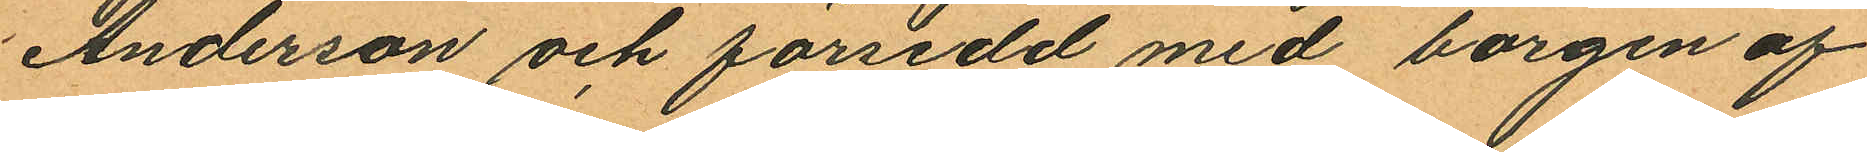Anderson och försedd med borgen af
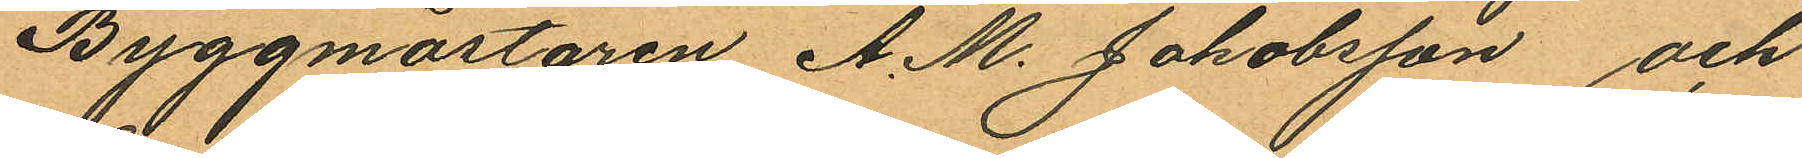Byggmästaren A. M. Jakobsson och
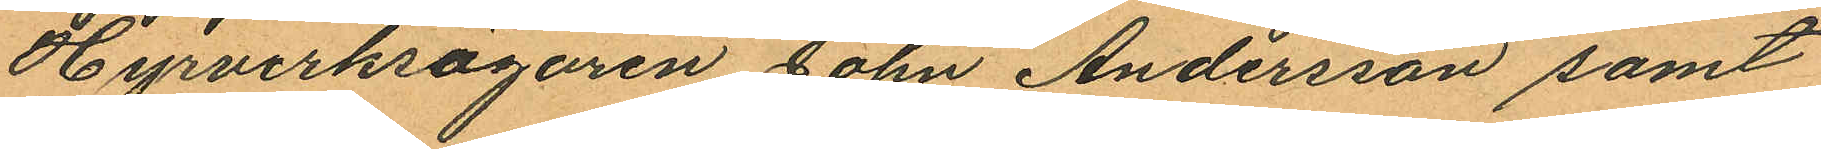Hyrverksägaren John Andersson samt
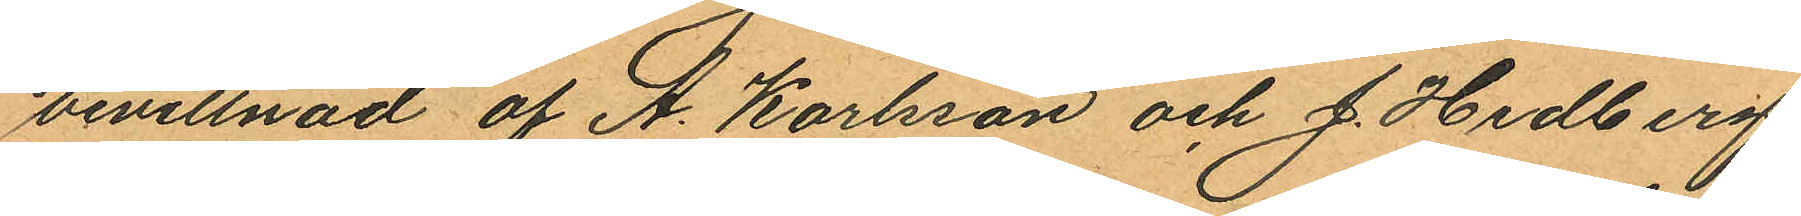bevittnad af A. Karlsson och J. Hedberg
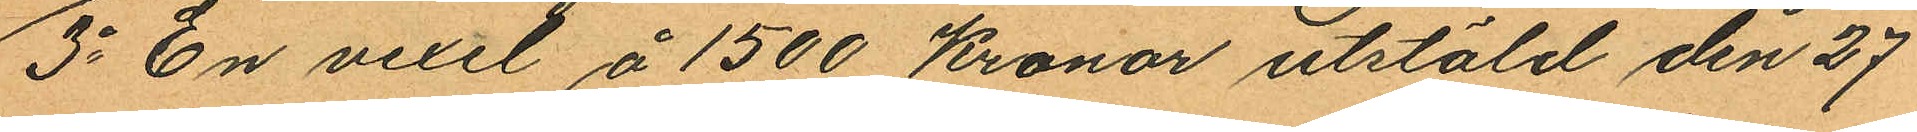3o En vexel å 1500 Kronor utstäld den 27
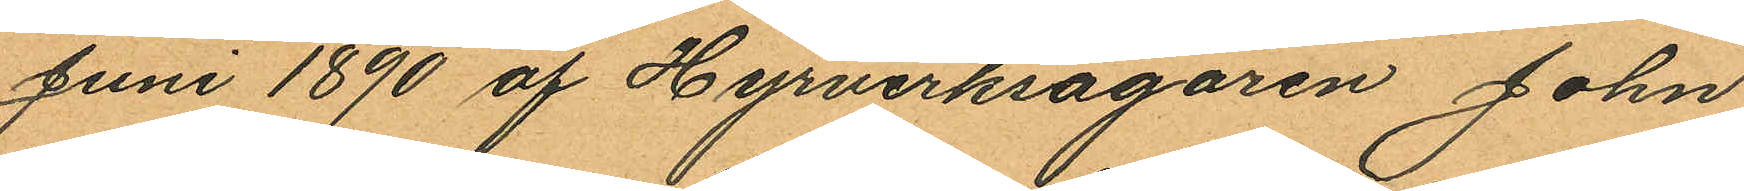Juni 1890 af Hyrverksagaren John
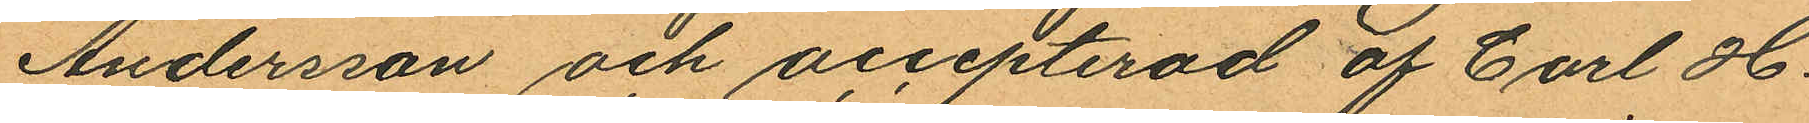Andersson och accepterad af Carl H.
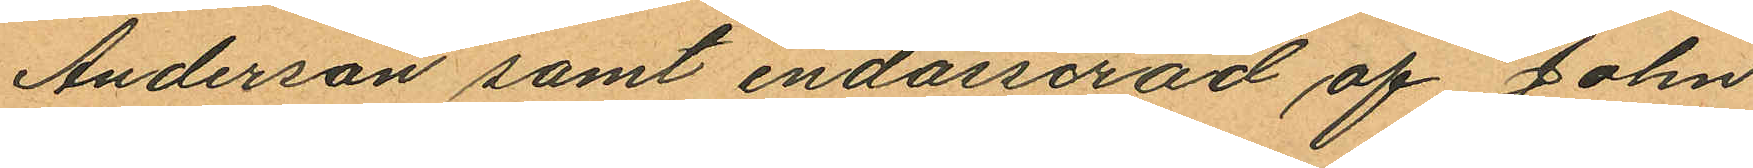Anderson samt endosserad af John
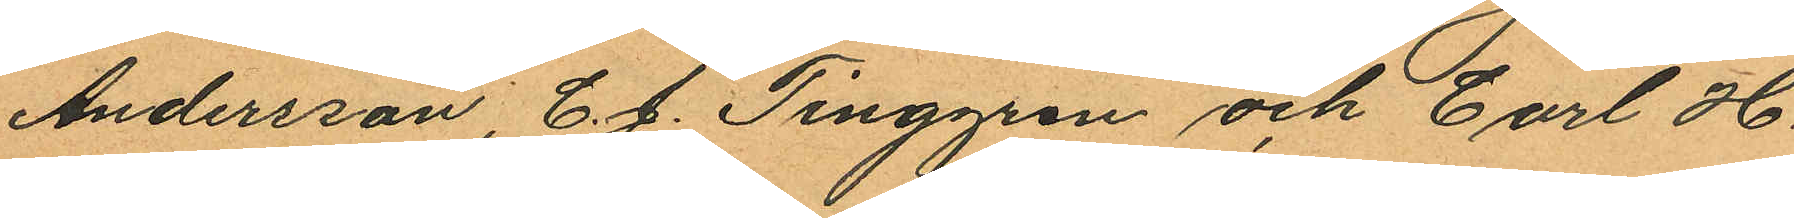Andersson, C. J. Tinggren och Carl H.
